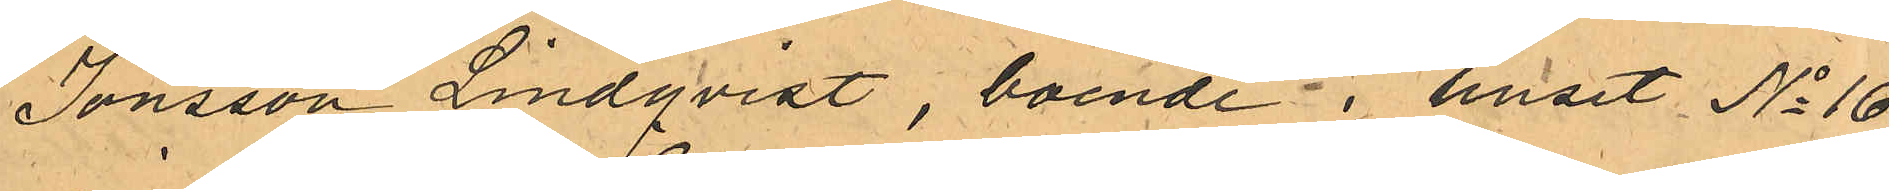Jonsson Lindqvist, boende i huset No 16
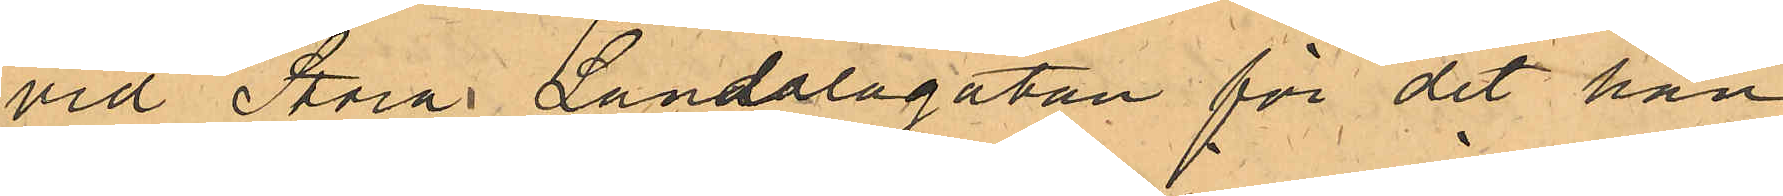vid Stora Landalagatan för det han
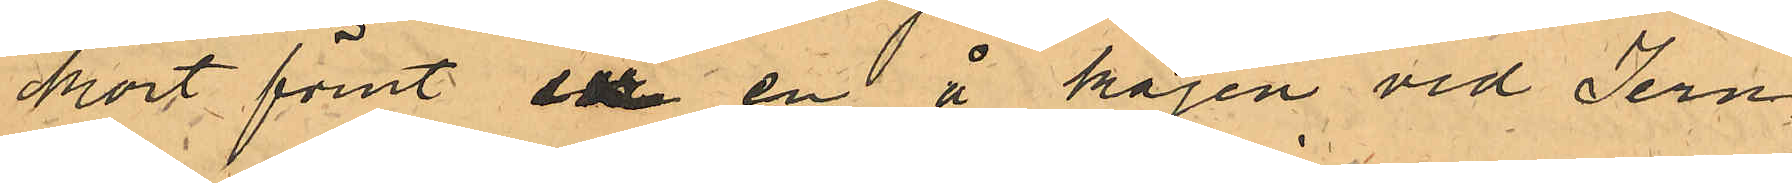kort förut ur en å kajen vid Jern¬
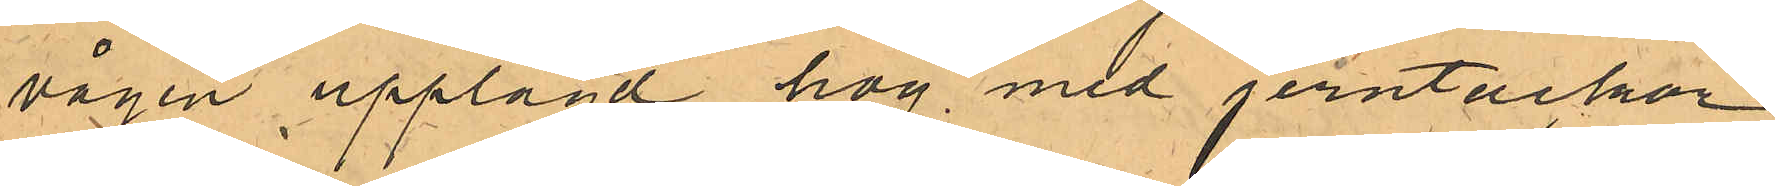vågen upplagd hög med jerntackor
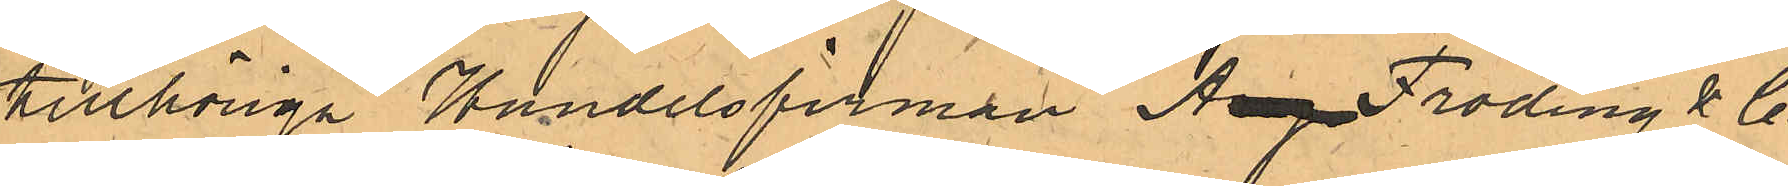tillhöriga Handelsfirman Aug Fröding & Co 
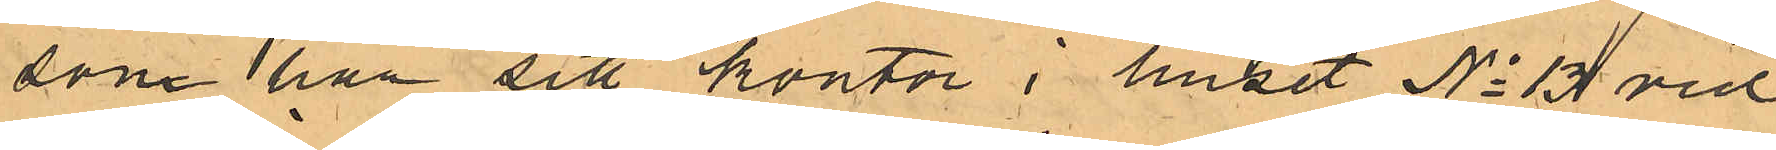som har sitt kontor i huset No 13 vid
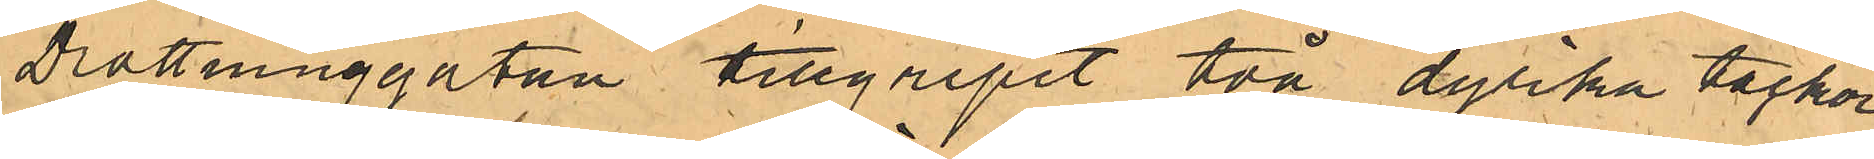Drottninggatan tillgripit två dylika tackor
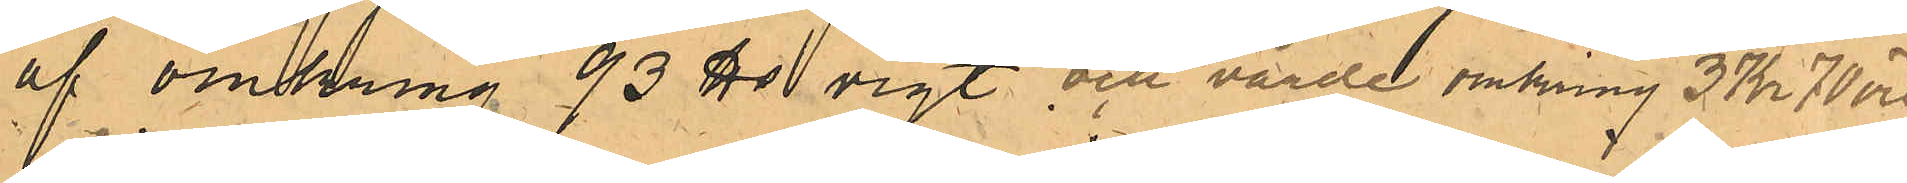af omkring 93 ℔ vigt och värde 3 Kr 70 öre.
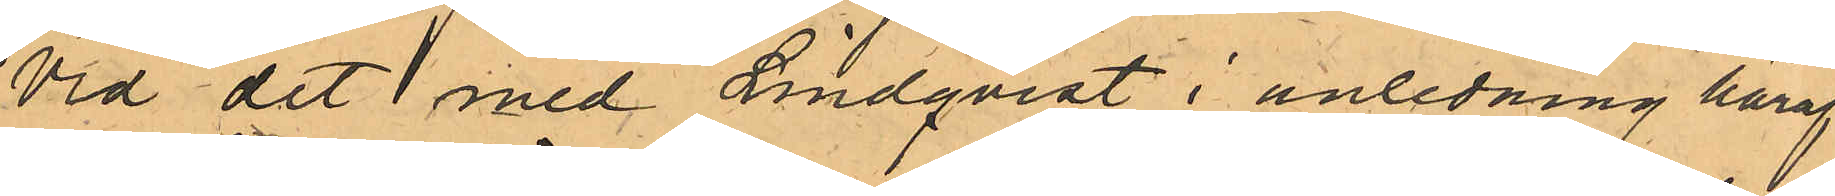Vid det med Lindqvist i anledning häraf
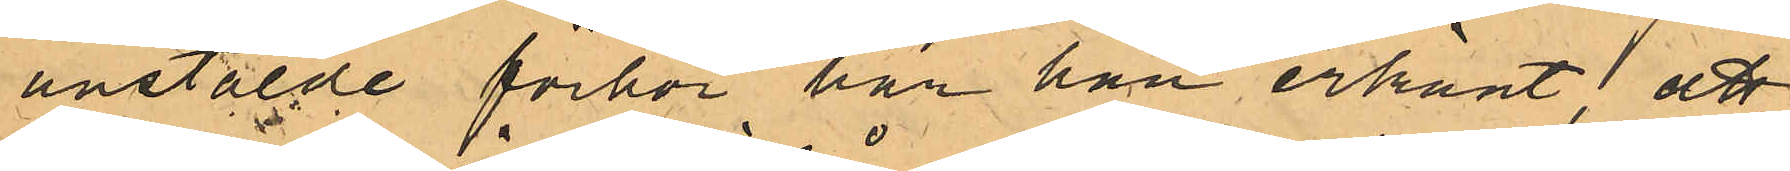anstälde förhör har han erkänt, att
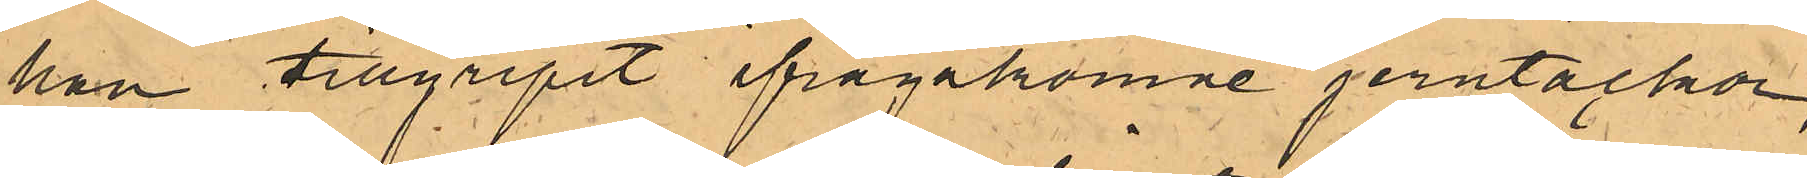han tillgripit ifrågakomne jerntackor,
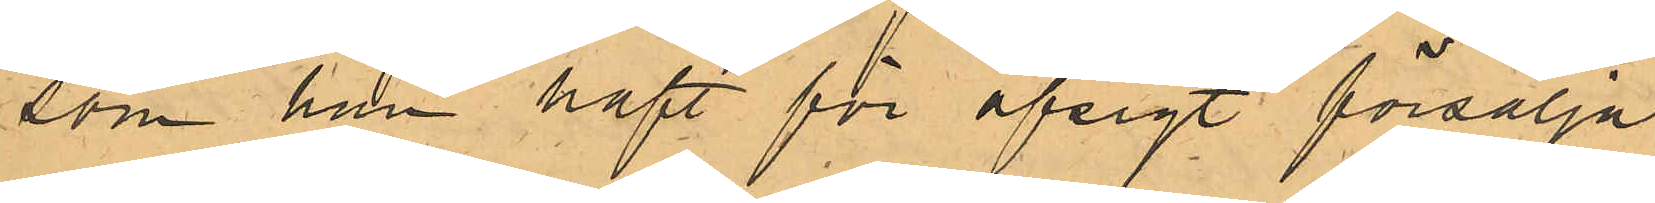som han haft för afsigt försälja.
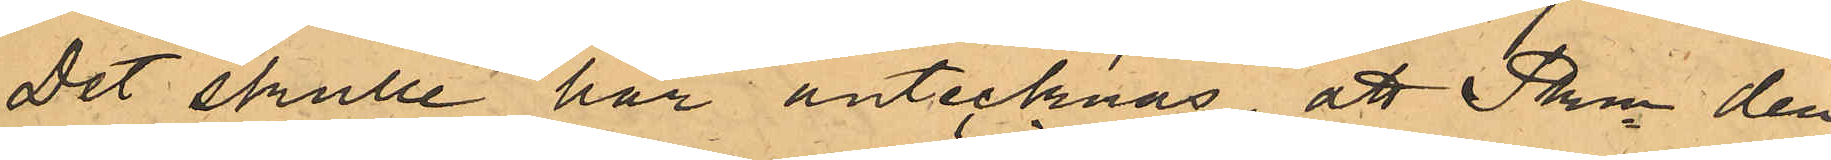Det skulle här antecknas, att Pkn den
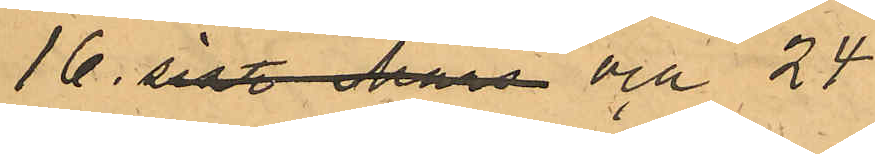16. sistl. Mars och 24
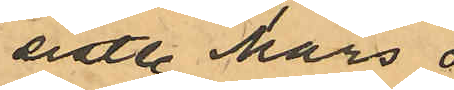sistl. Mars 
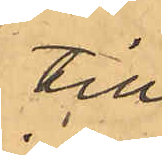till
